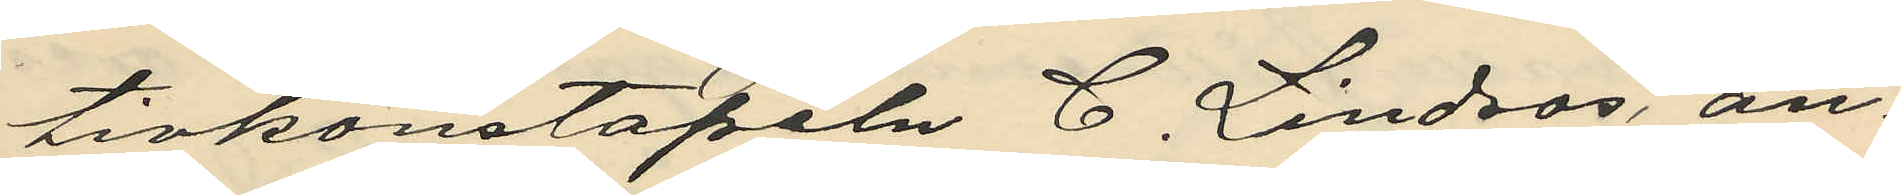tivkonstapeln C. Lindros, an¬
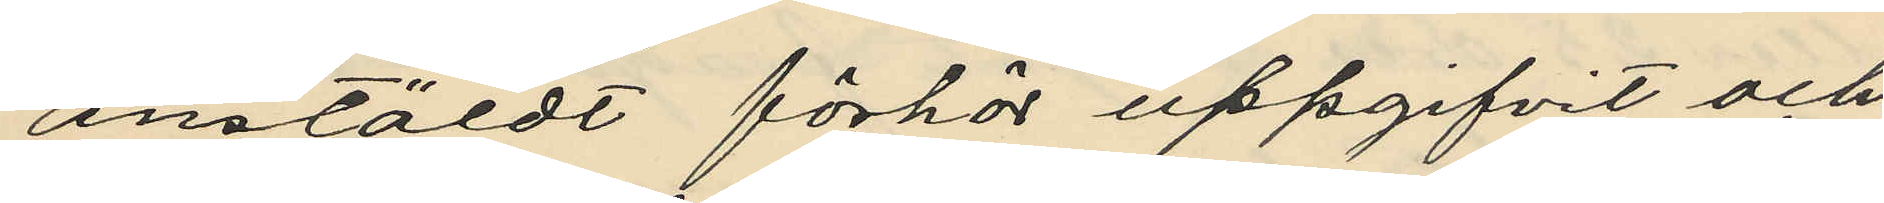anstäldt förhör uppgifvit och
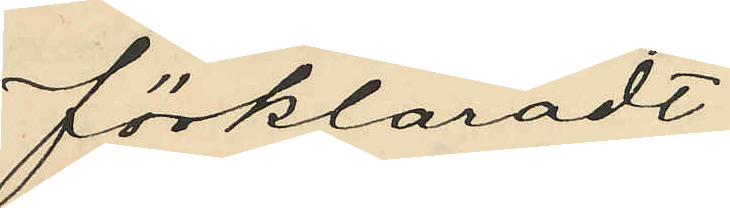förklaradt:
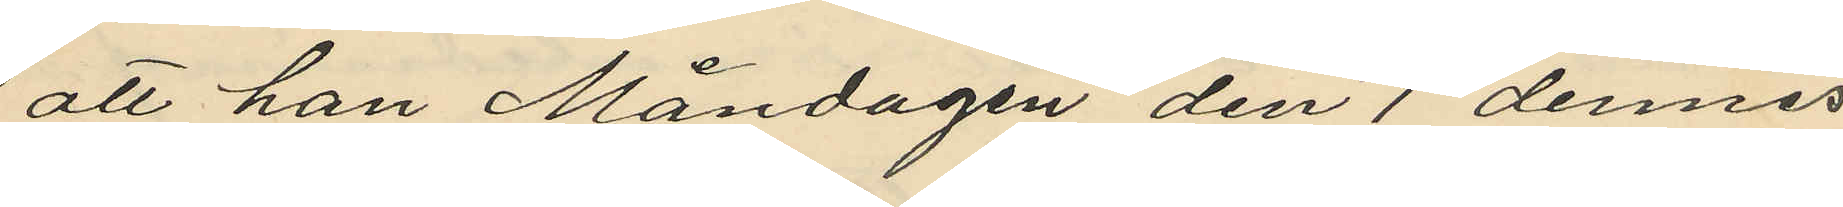att han Måndagen den 1 dennes
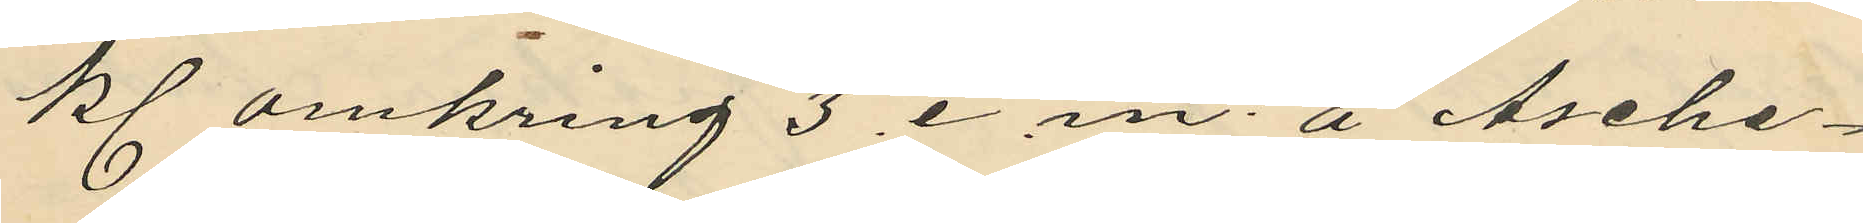kl. omkring 3 . e. m. å Asche¬
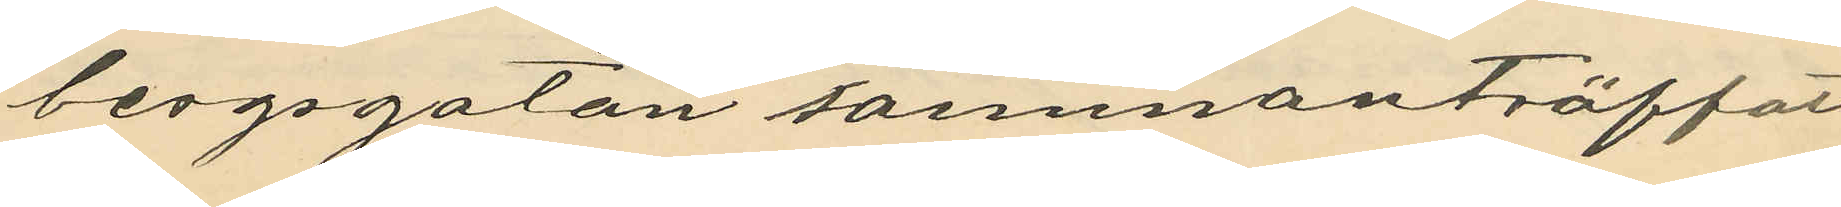bergsgatan sammanträffat
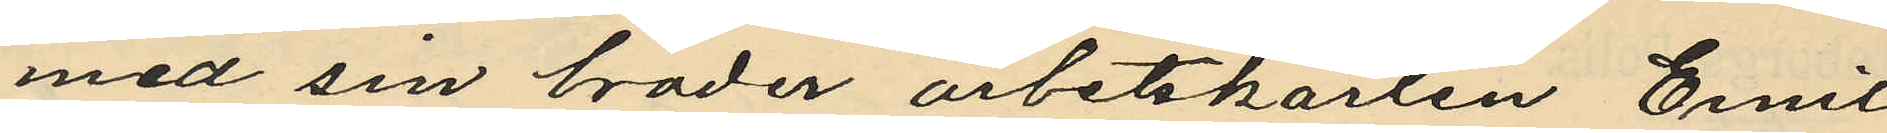med sin broder arbetskarlen Emil
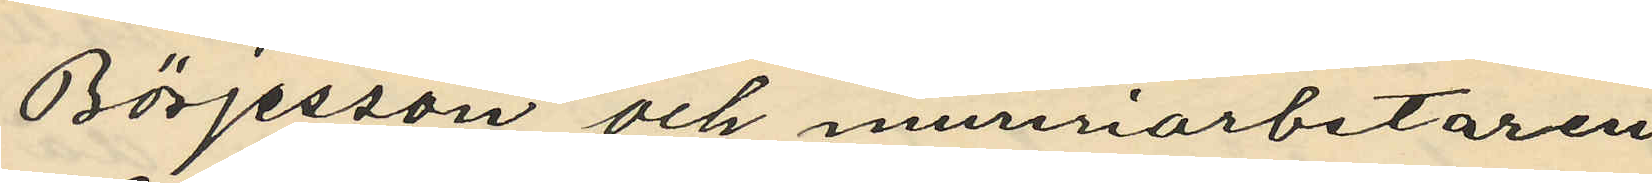Börjesson och mureriarbetaren
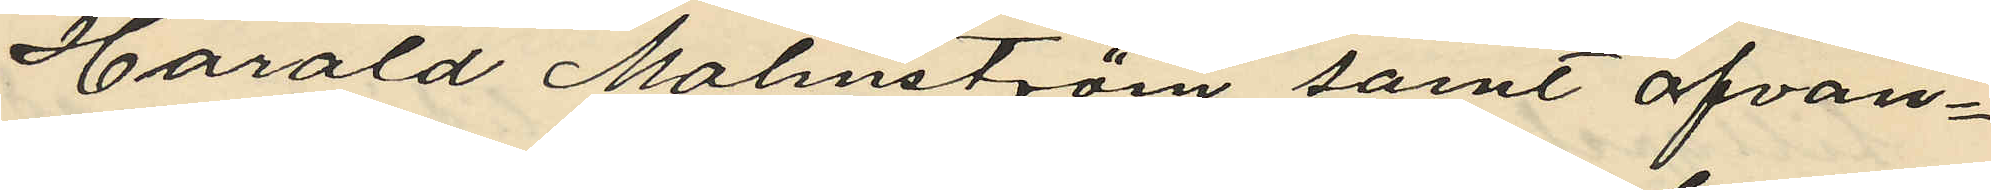Harald Malmström samt ofvan¬
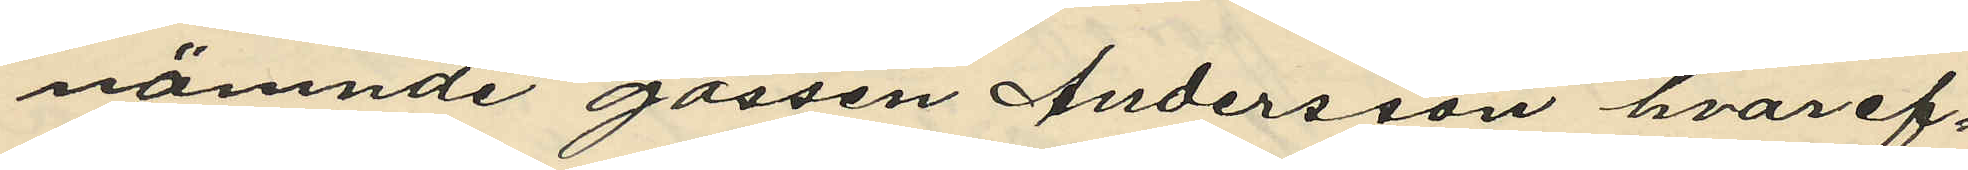nämnde gossen Andersson hvaref¬
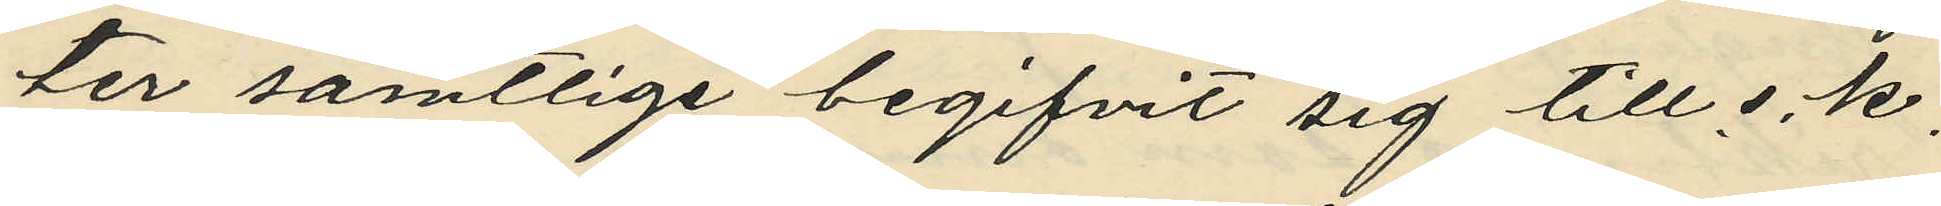ter samtlige begifvit sig till s. k.
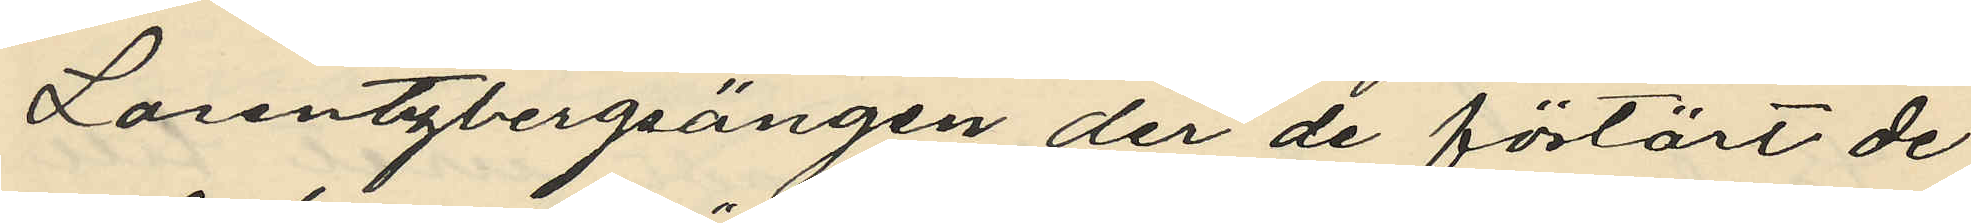Lorentzbergsängen der de förtärt de
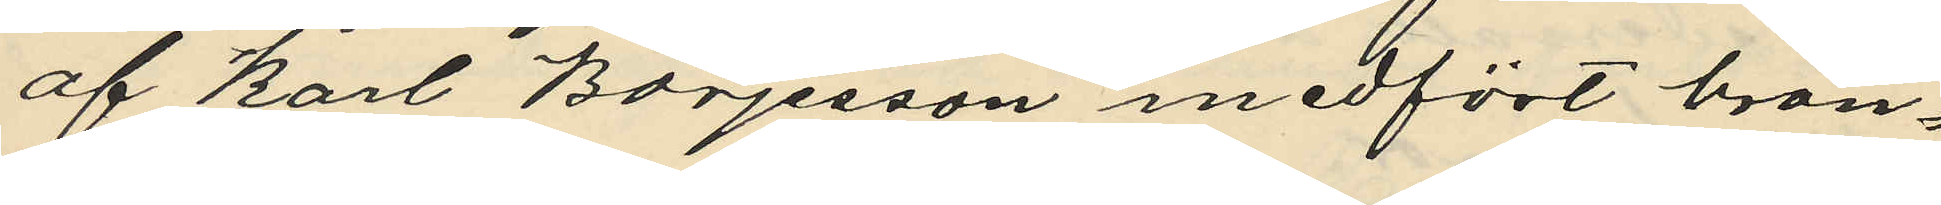af Karl Börjesson medfört brän¬
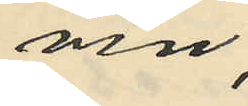vin;
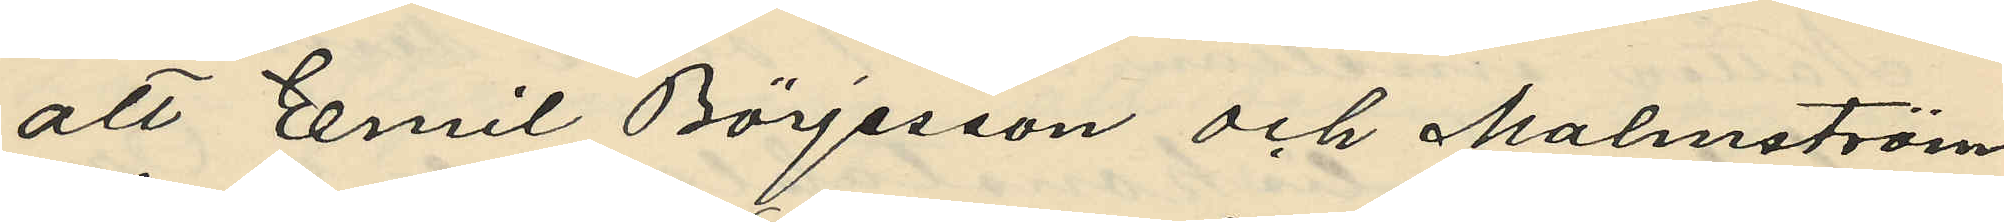att Emil Börjesson och Malmström
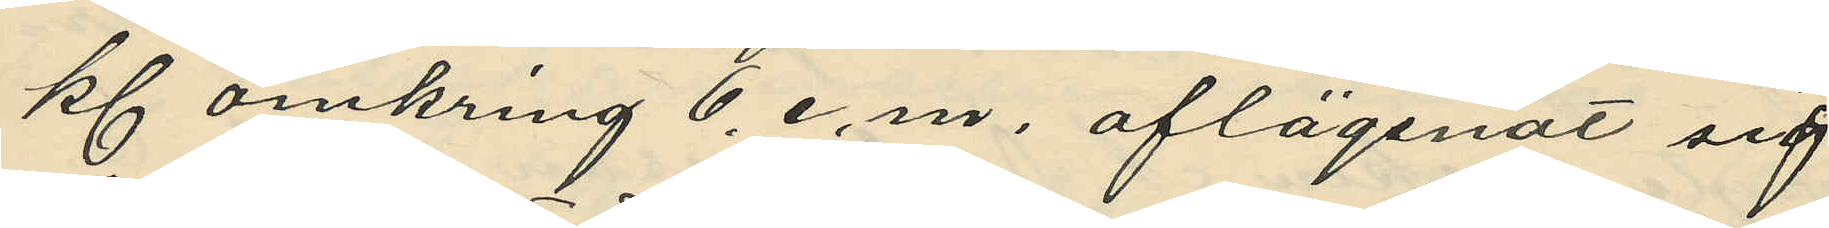kl. omkring 6. e. m. aflägsnat sig
